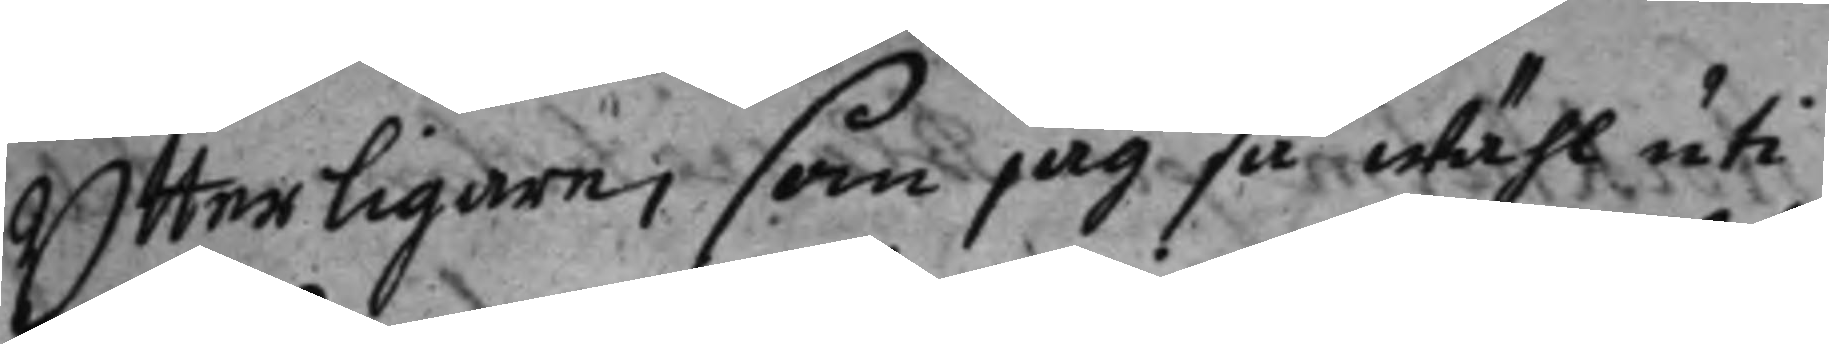Ytterligare, som jag så wähl uti
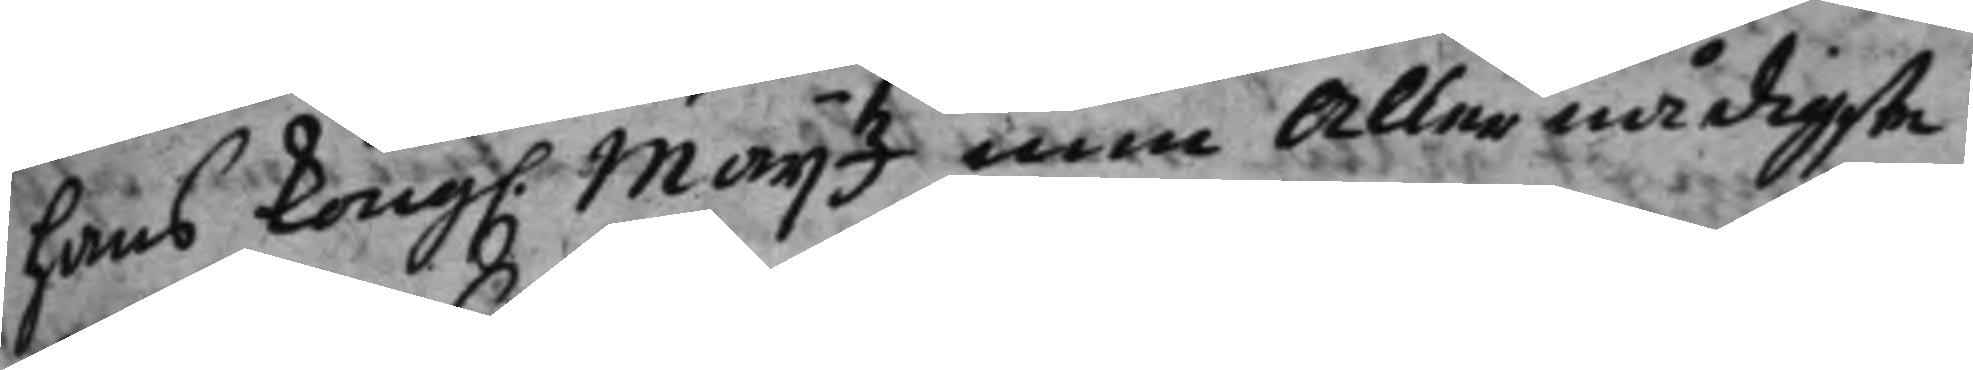hans Kong. Maij.tz min Allernådigste 
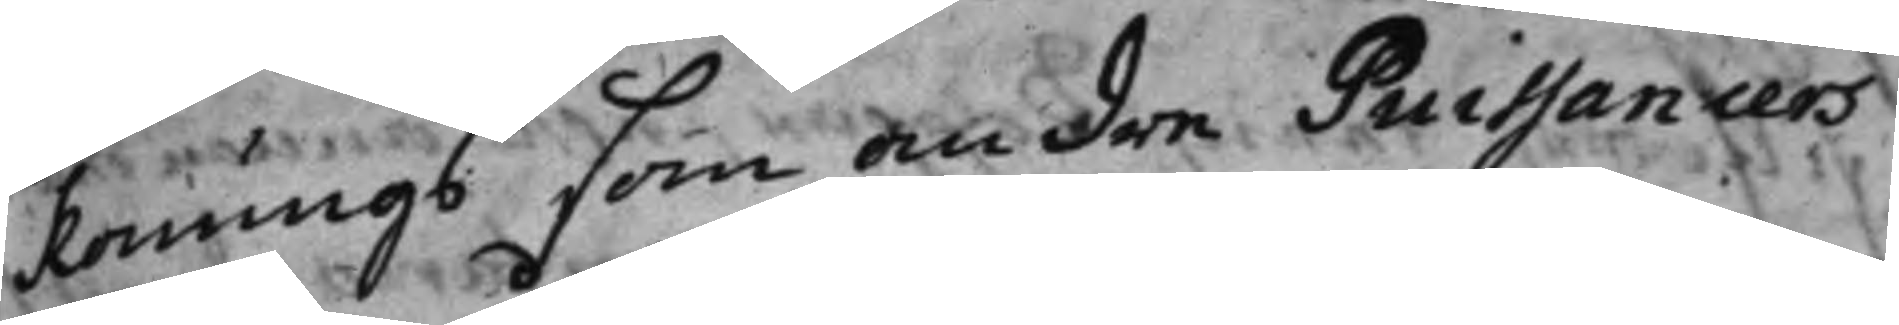konungs som andre Puissancers
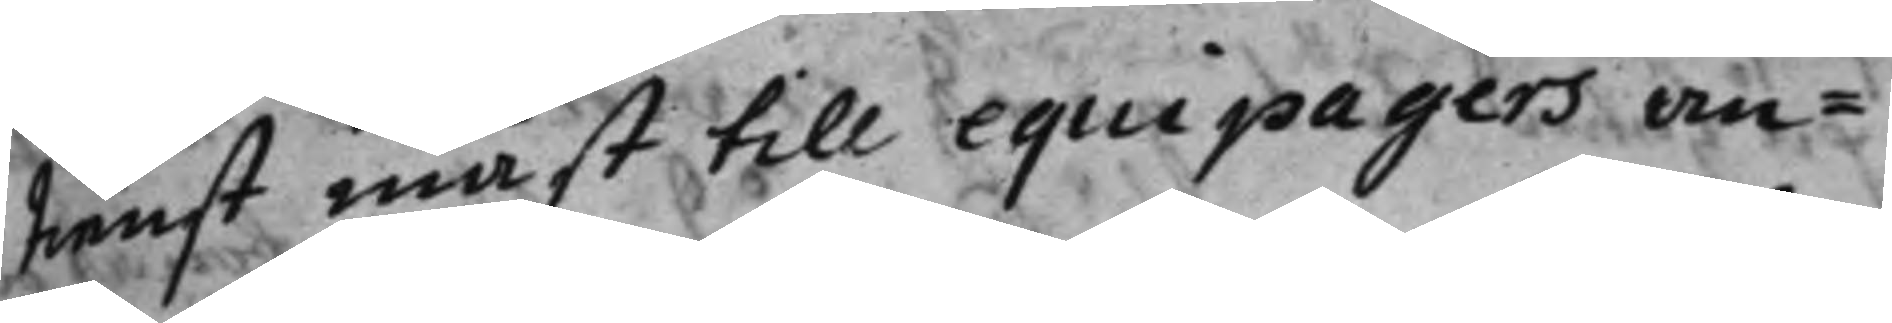tienst måst till equipagers an¬
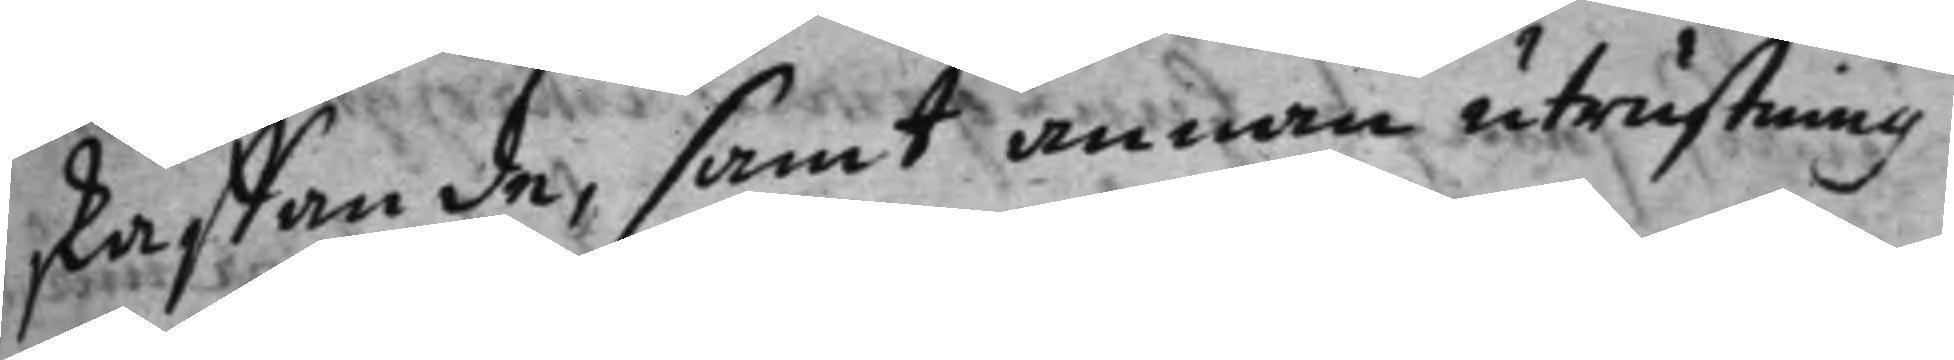skaffande, samt annan utrustning
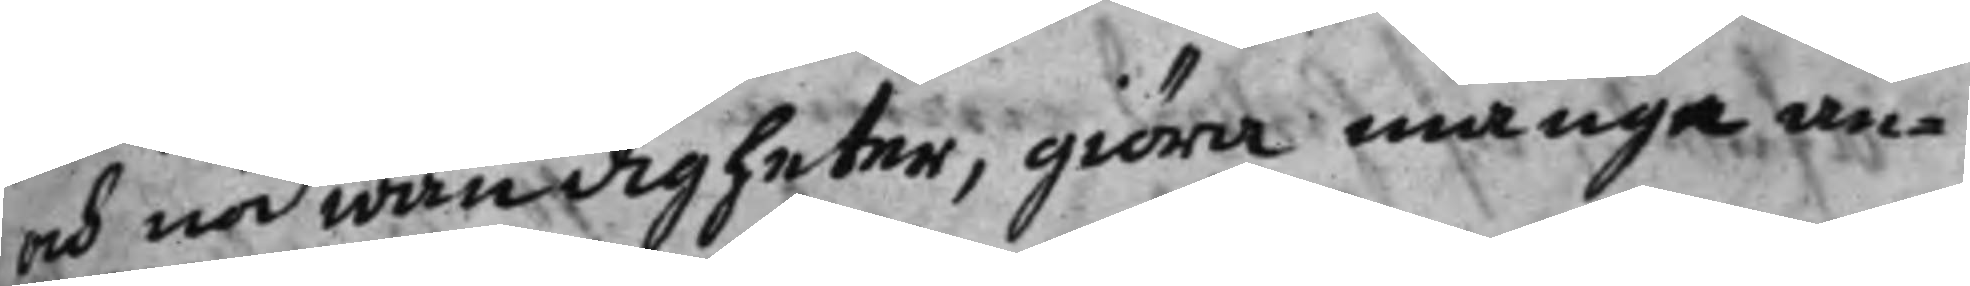och nödwändigheter, giöra många an¬
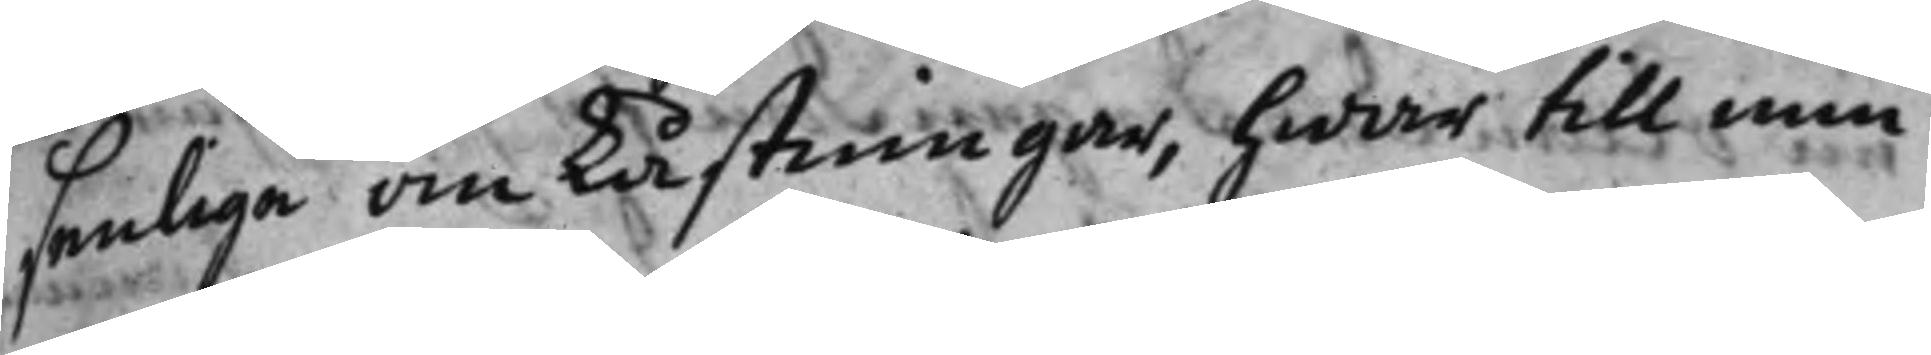senliga omkåstningar, hwar till min
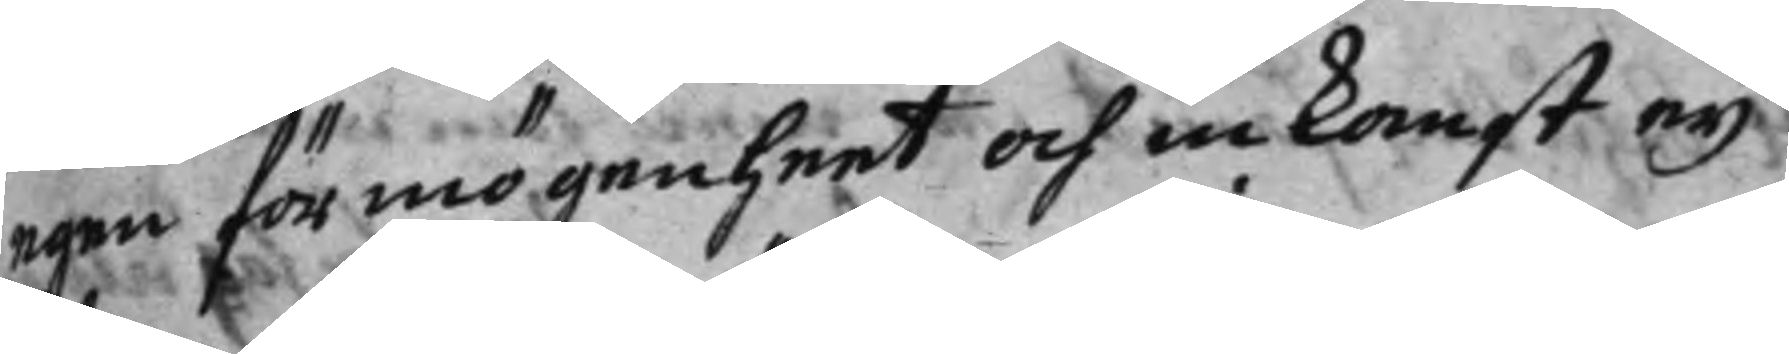egen förmögenheet och inkomst eij
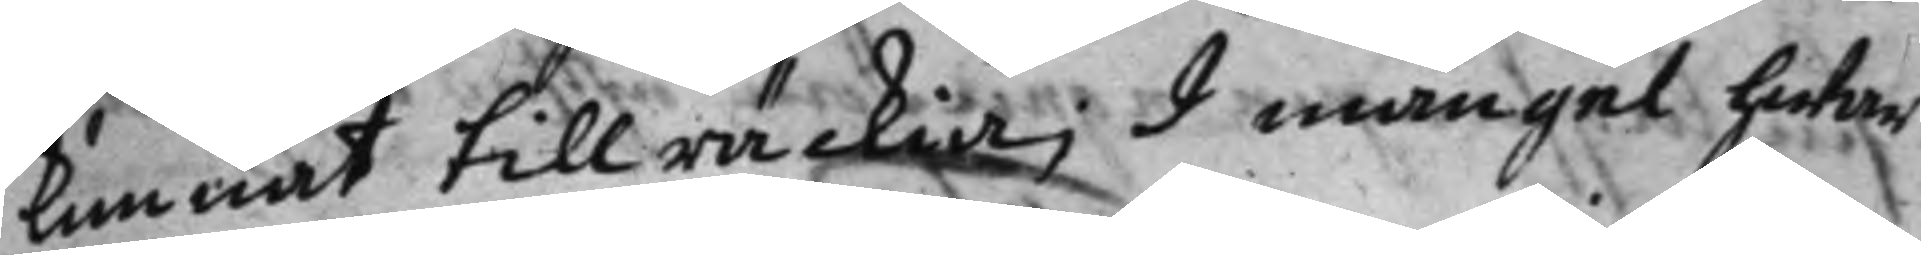kunnat tillräckia; I mangel hwar¬
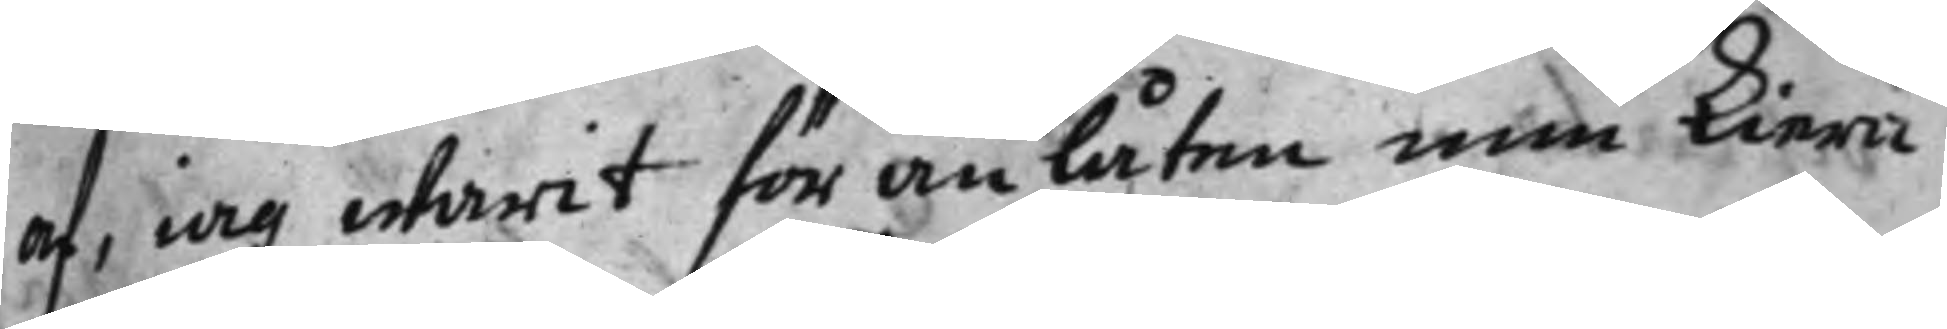af, iag warit föranlåten min kiera
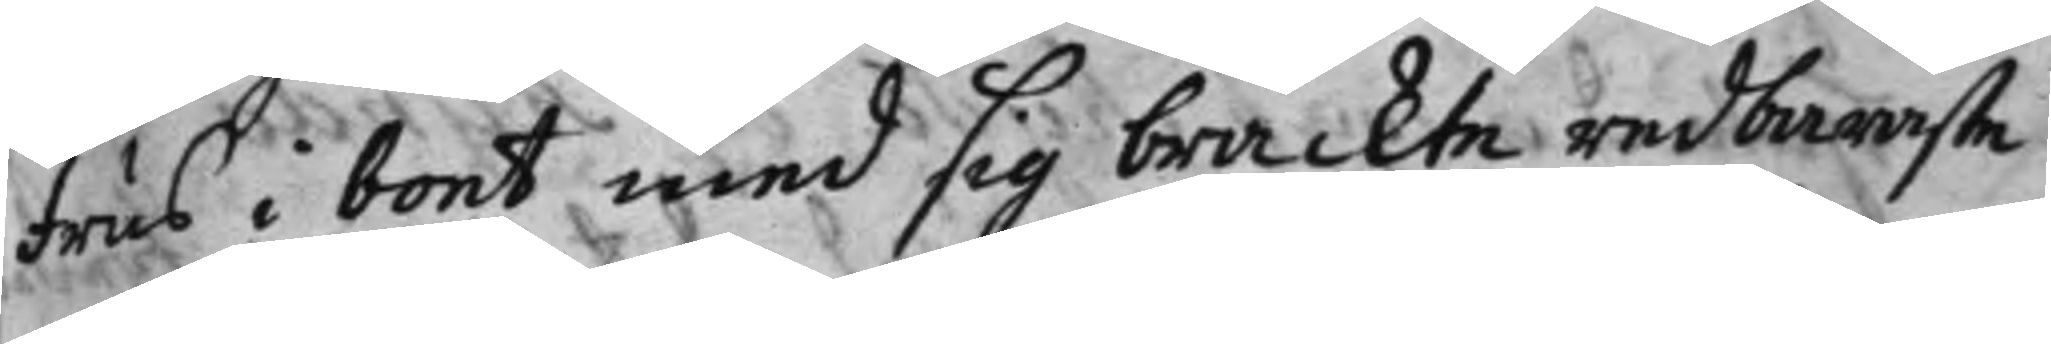frus i boet med sig brackte redbaraste
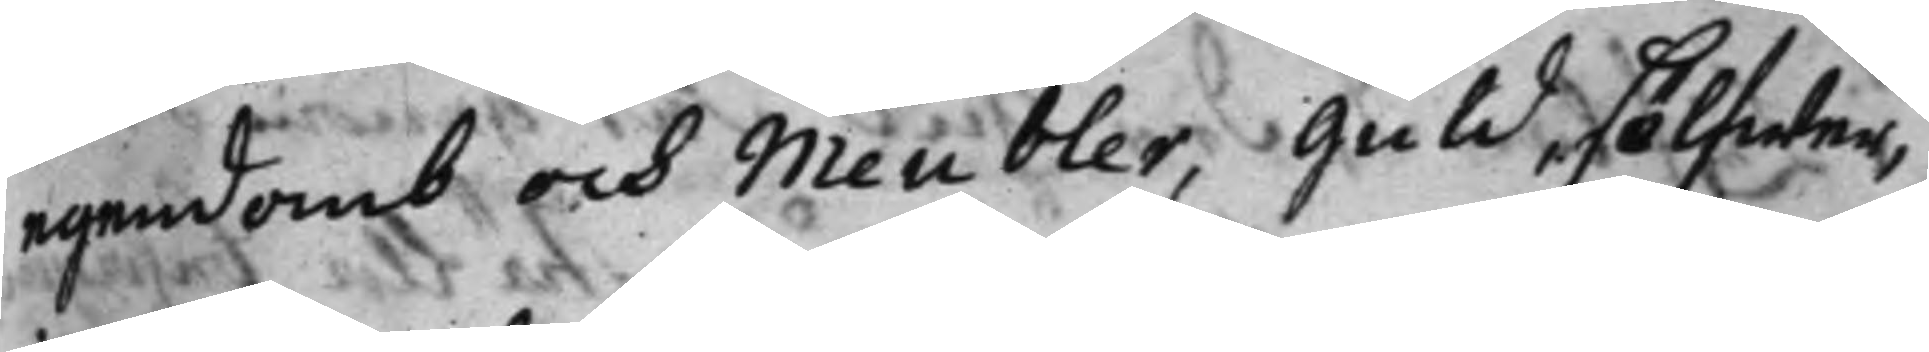egendomb och Meubler, guld, sölfwer,
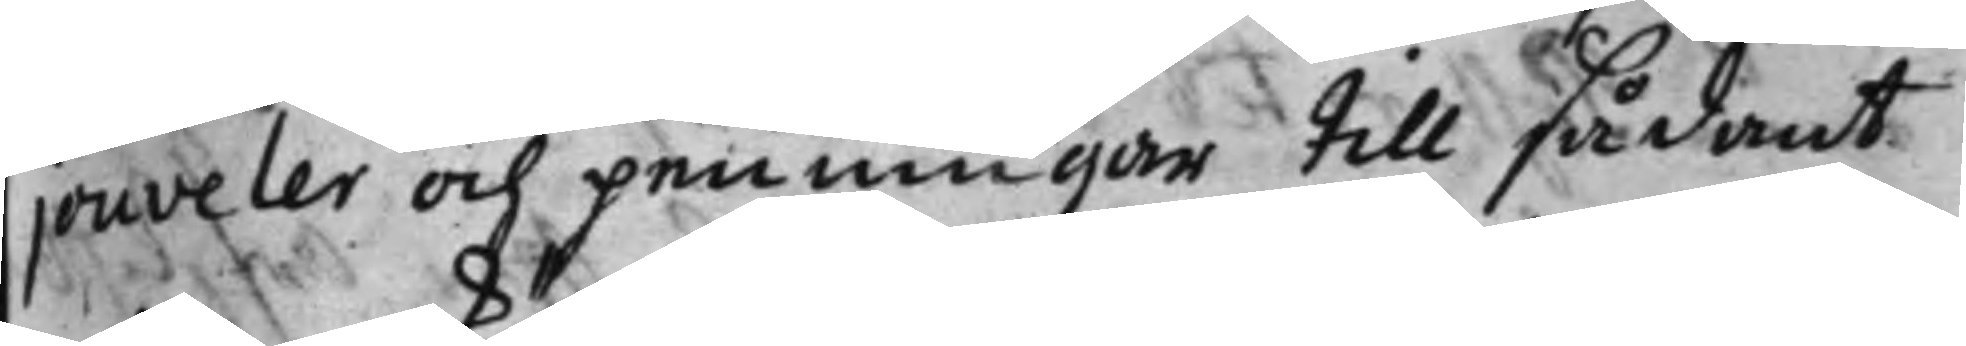jouveler och penningar till sådant.
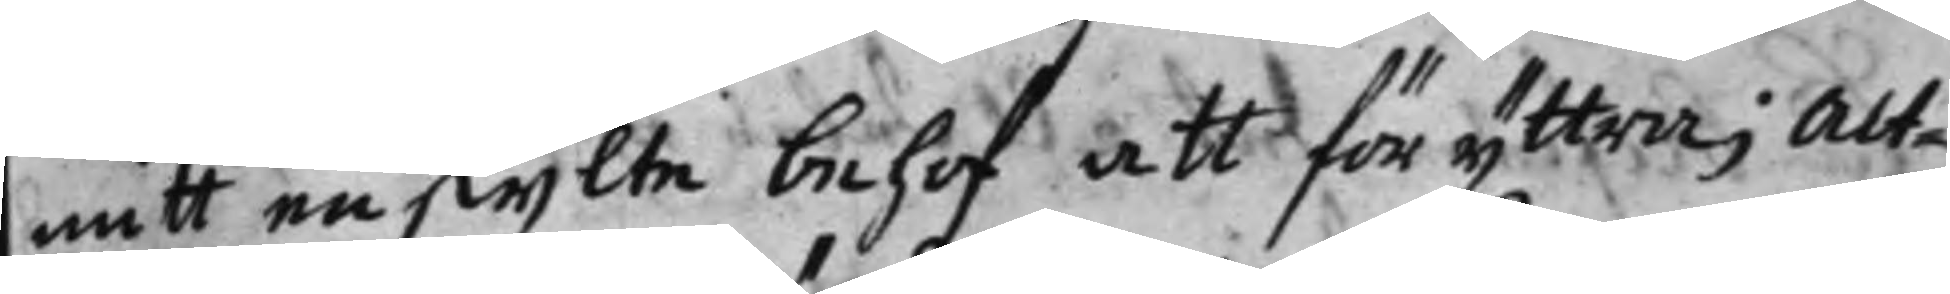nätt enskijlte behof att föryttra; Alt¬
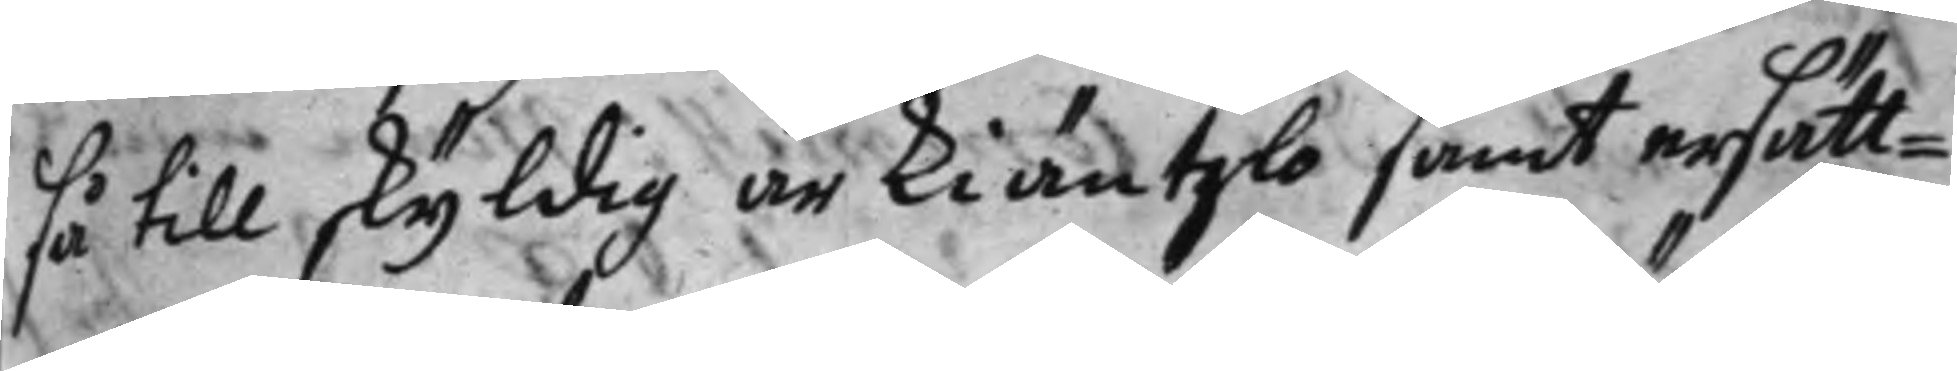så till skyldig är kiäntzlo samt ersätt¬
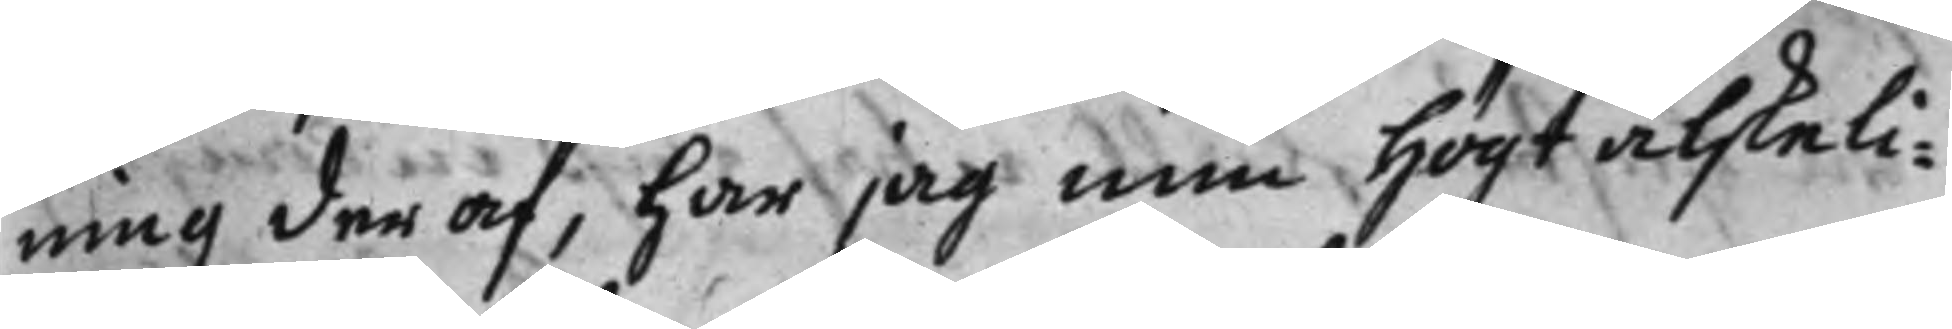ning deraf, har iag min högt alskeli¬
